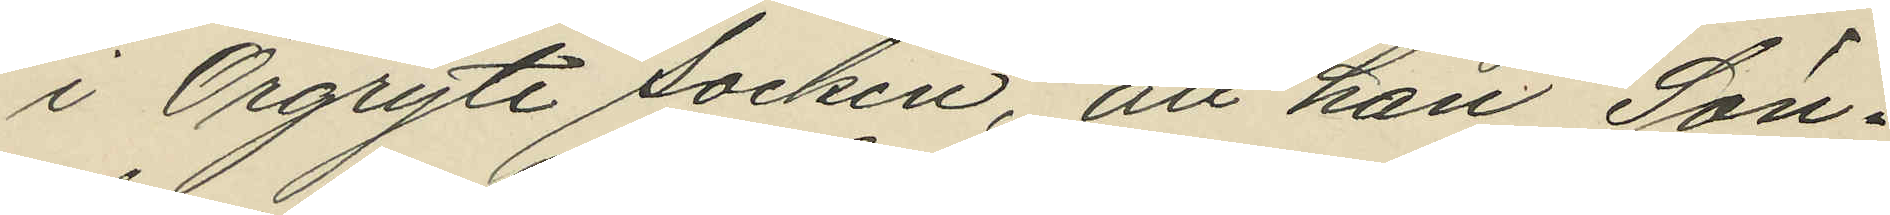i Örgryte socken, att han Sön¬
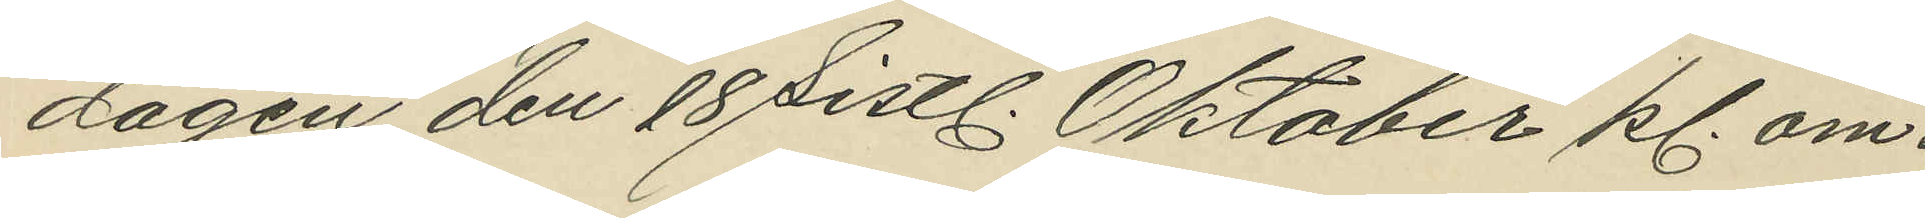dagen den 18 sistl. Oktober kl. om¬
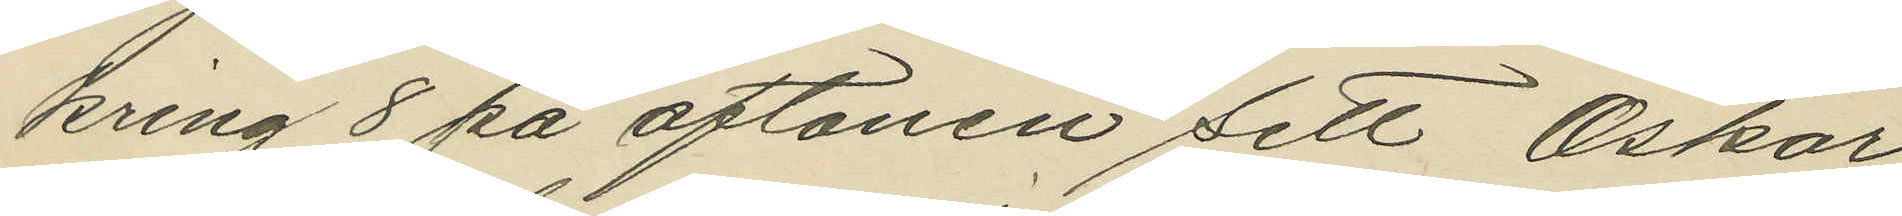kring 8 på aftonen sett Oskar
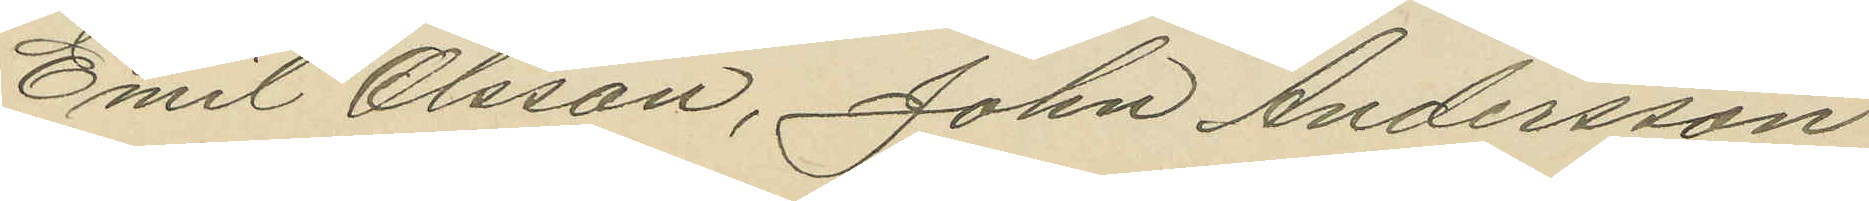Emil Olsson, John Andersson
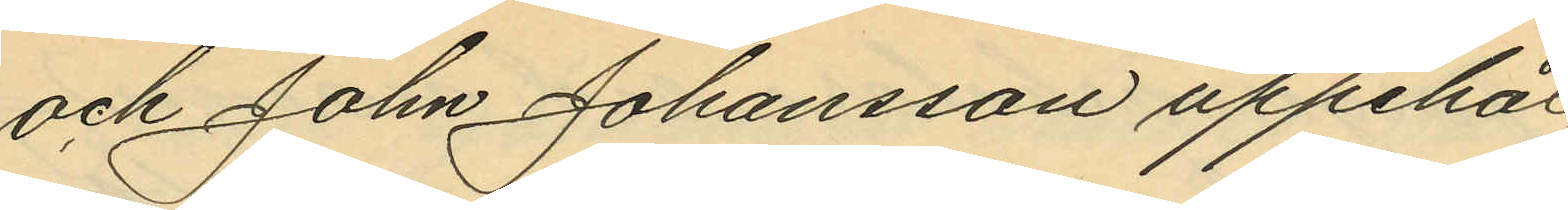och John Johansson uppehål¬
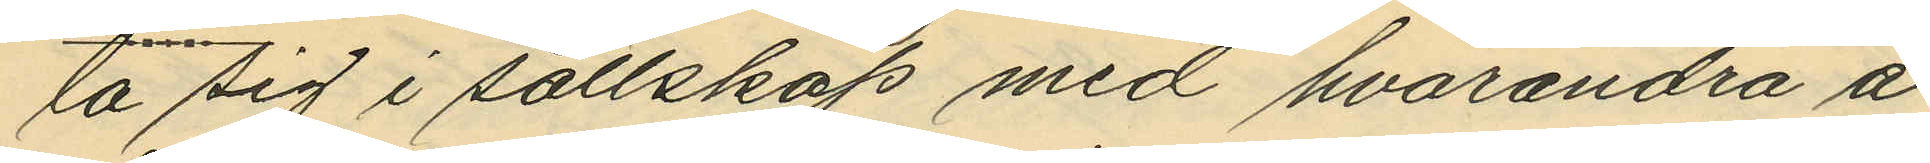la sig i sällskap med hvarandra å
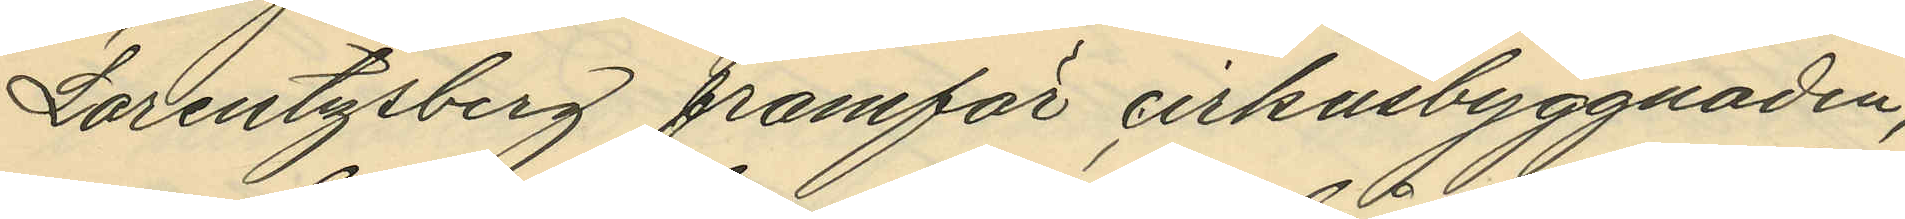Lorentzsberg framför cirkusbyggnaden;
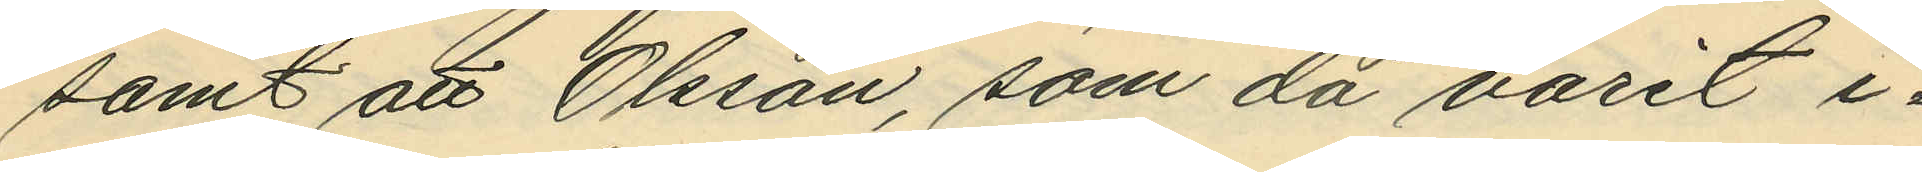samt att Olsson, som då varit i¬
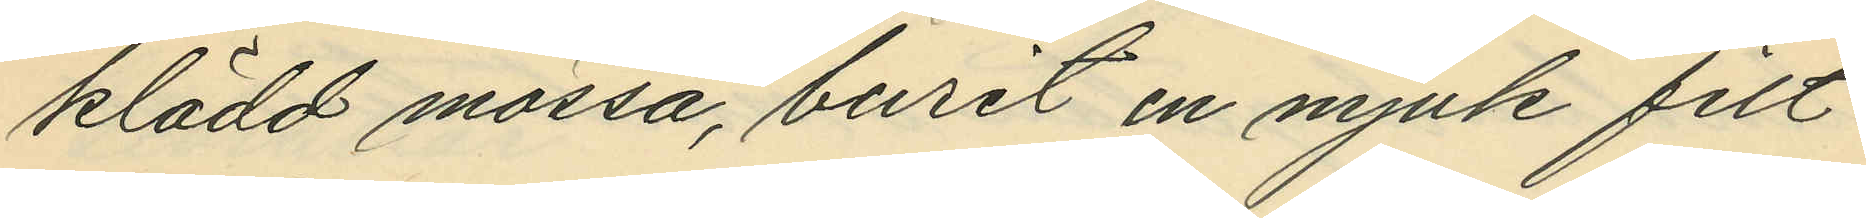klädd mössa, burit en mjuk filt¬
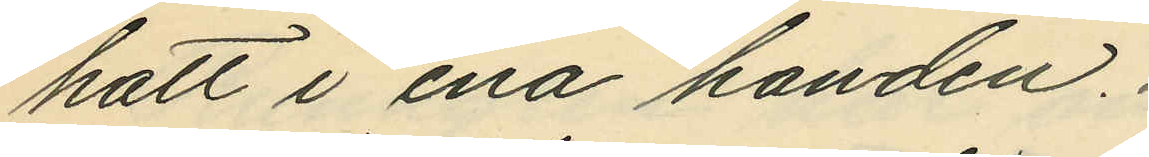hatt i ena handen.
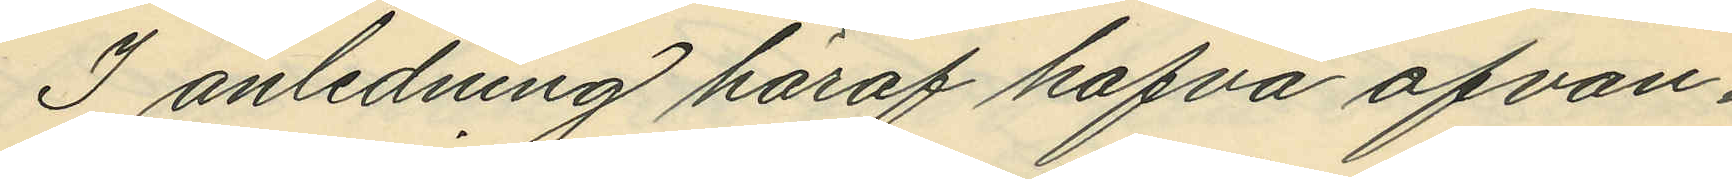I anledning häraf hafva ofvan¬
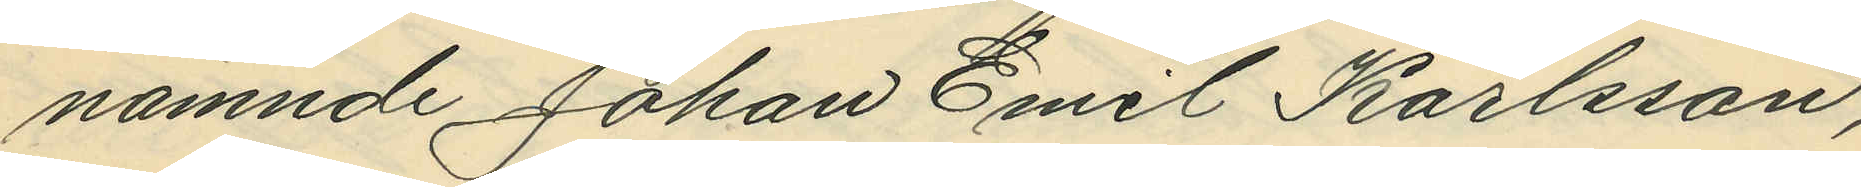nämnde Johan Emil Karlsson,
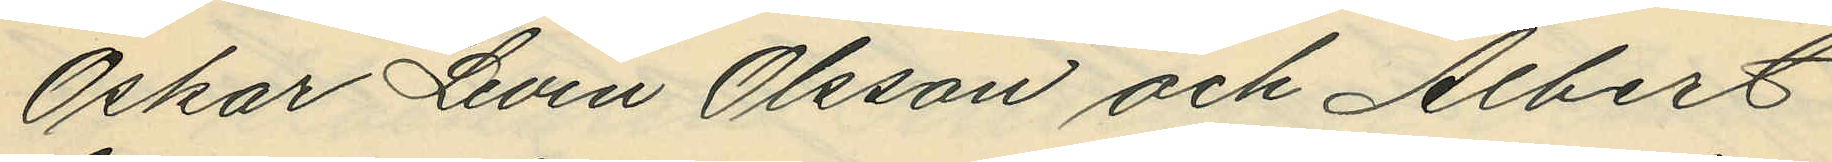Oskar Levin Olsson och Albert
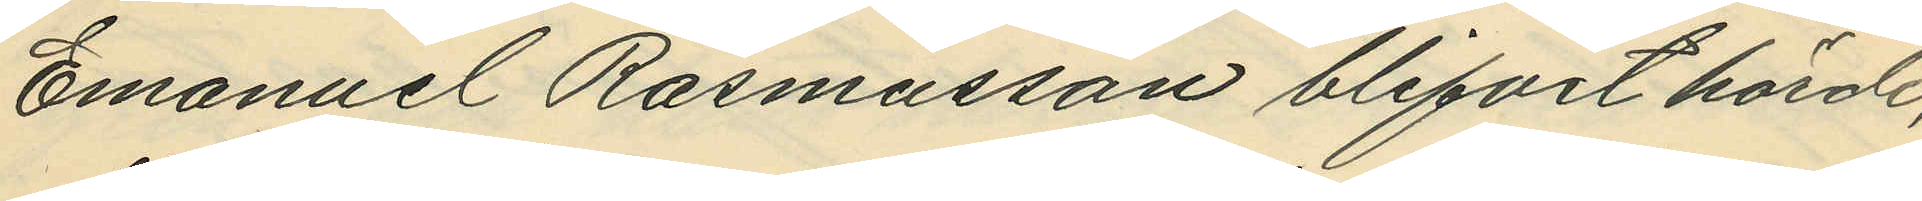Emanuel Rasmusson blifvit hörde,
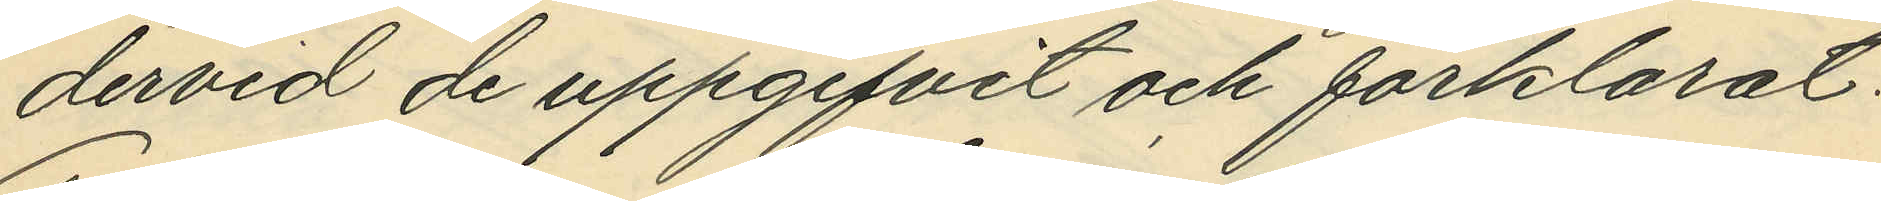dervid de uppgifvit och förklarat:
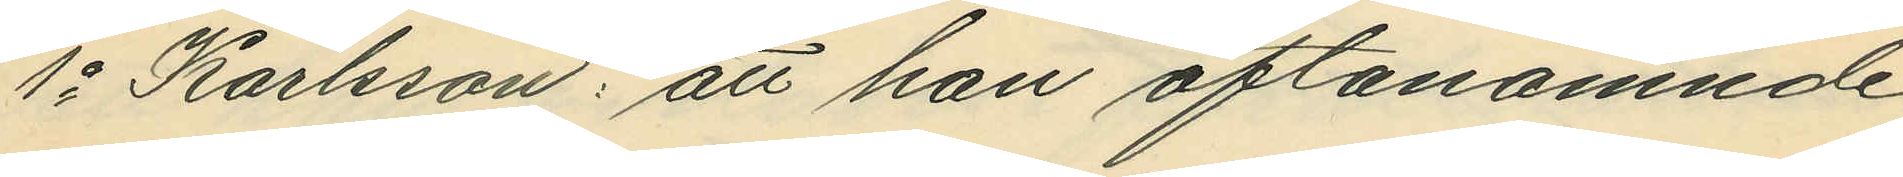1o Karlsson: att han oftanämnde
